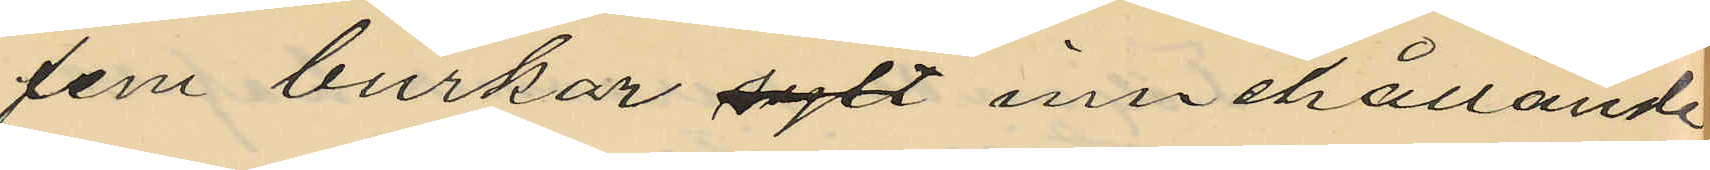fem burkar sylt innehållande
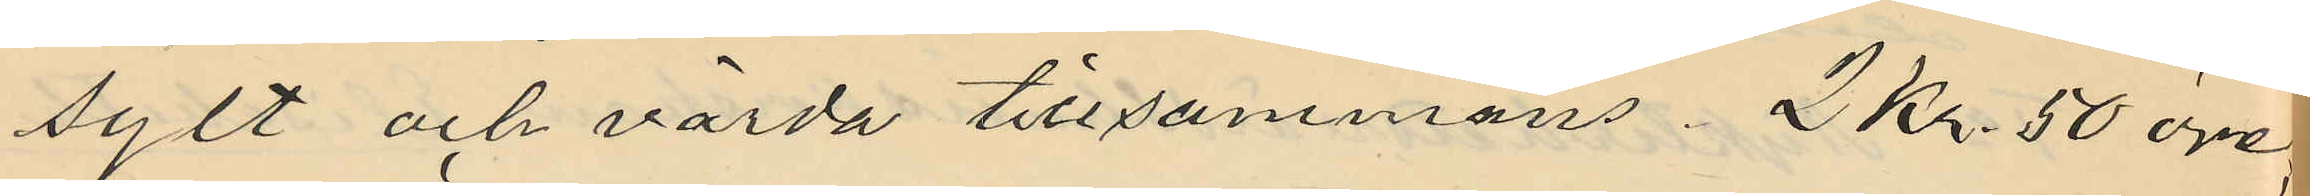sylt och värda tillsammans 2 Kr. 50 öre;
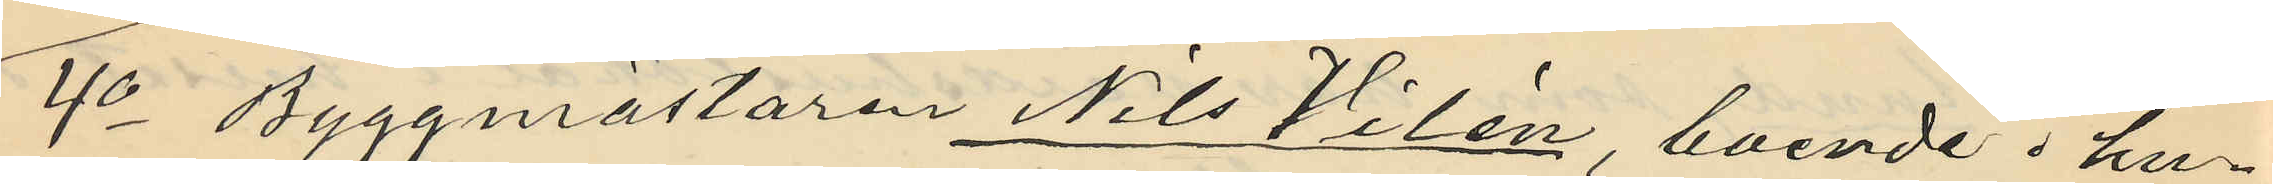4o Byggmästaren Nils Vilén, boende i hu¬
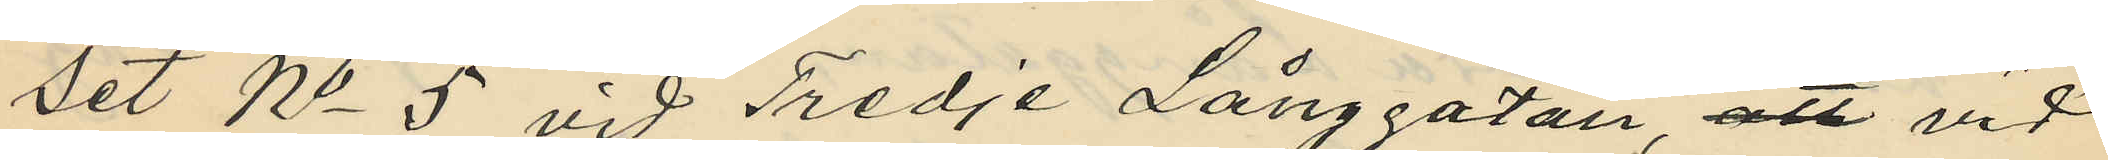set No 5 vid Tredje Långgatan, att vid
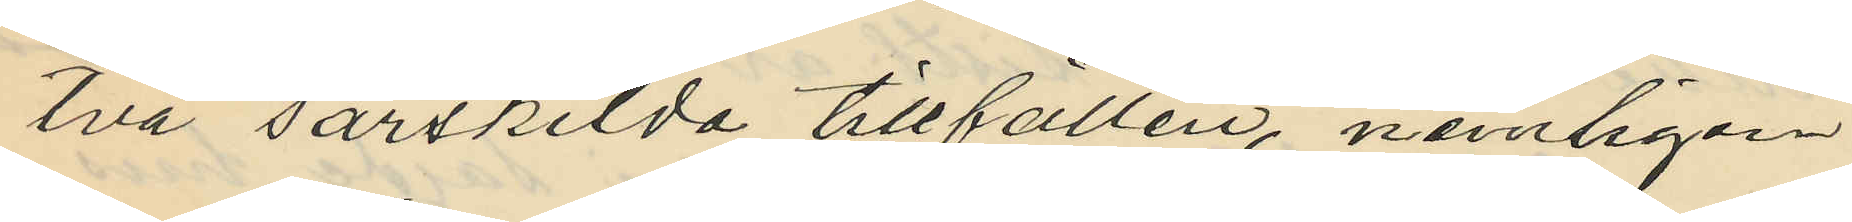två särskilda tillfällen, nemligen
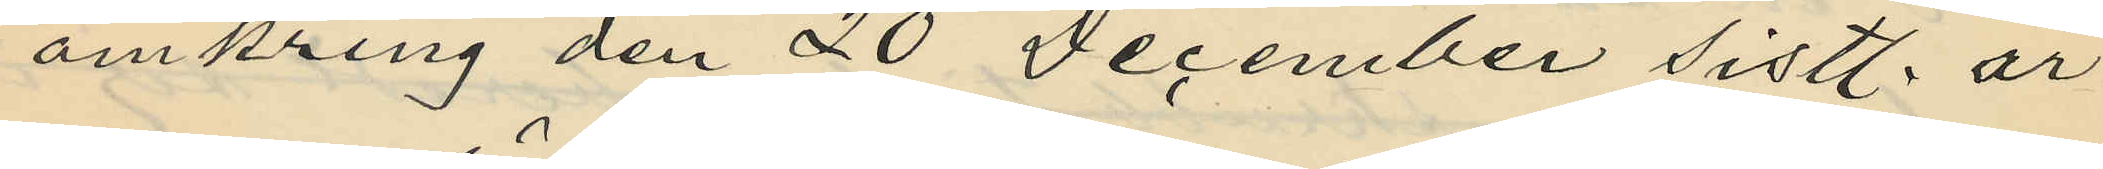omkring den 20 December sistl. år
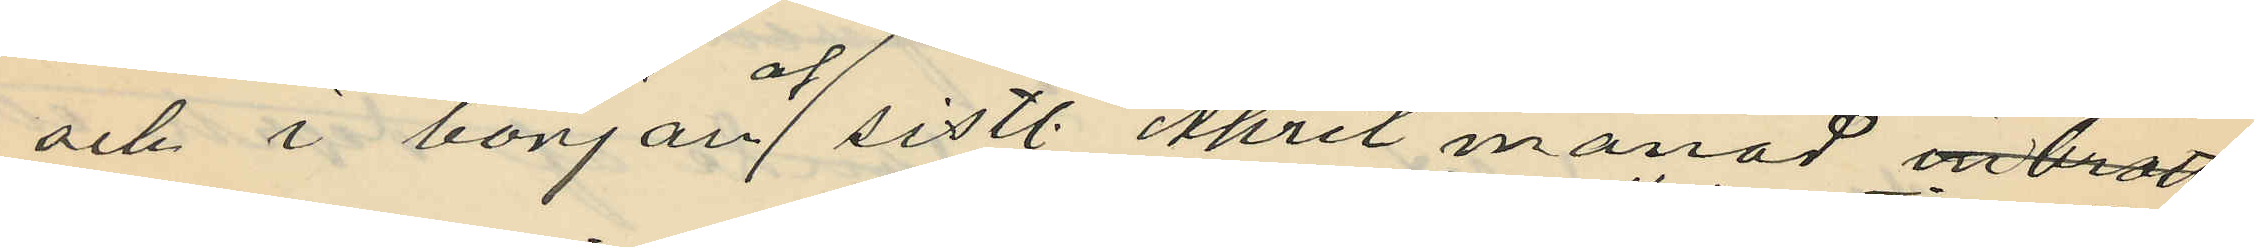och i början af sistl. April månad inbrott
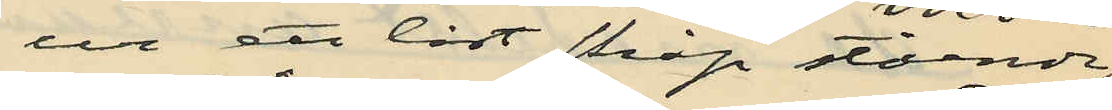ur ett låst skåp stående i
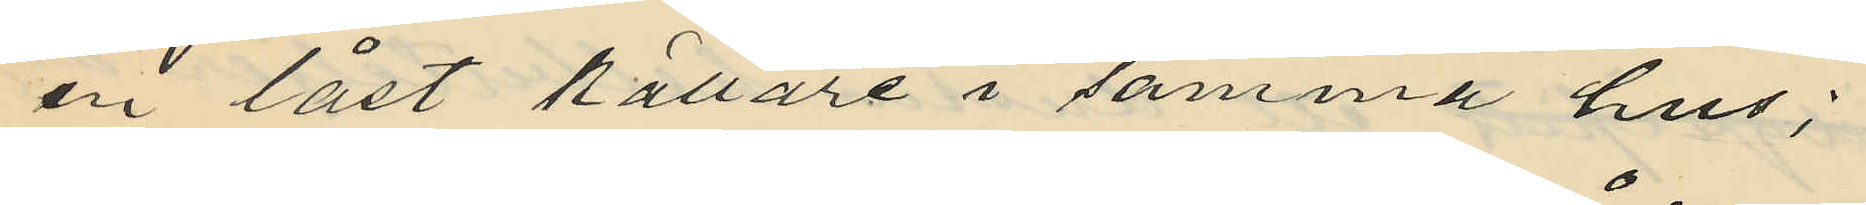en låst källare i samma hus;
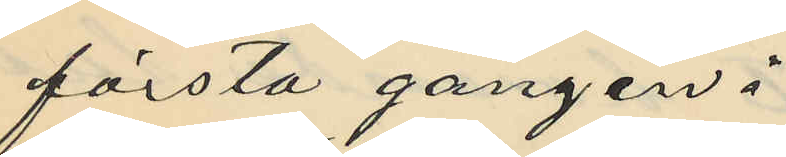första gången:
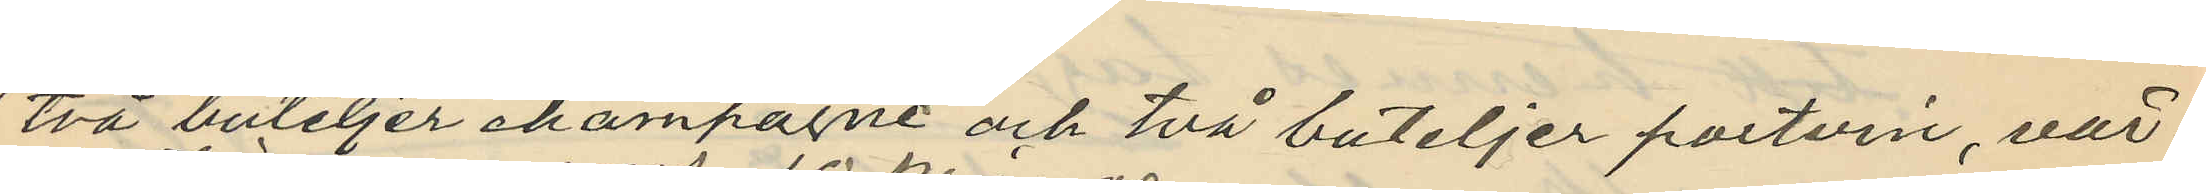två buteljer champagne och två buteljer portvin, vär¬
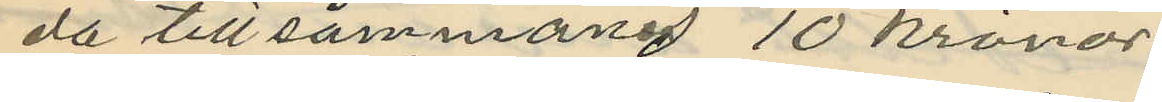da tillsammans 10 kronor
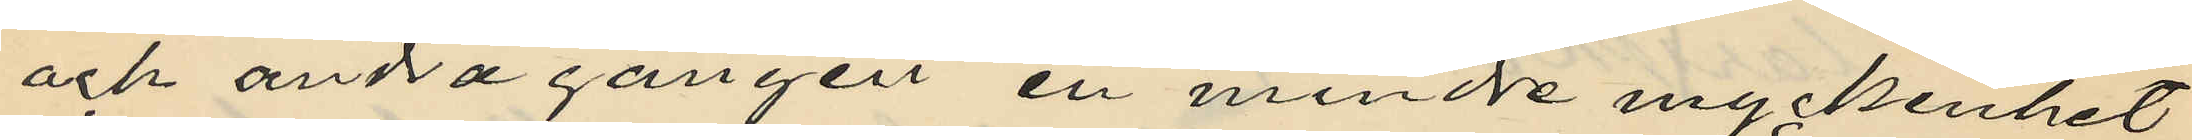och andra gången en mindre myckenhet
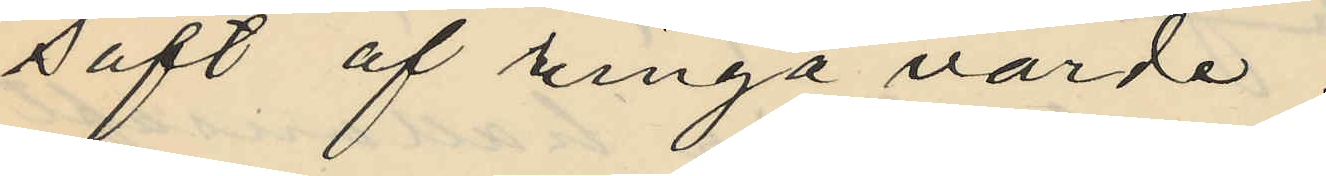saft af ringa värde;
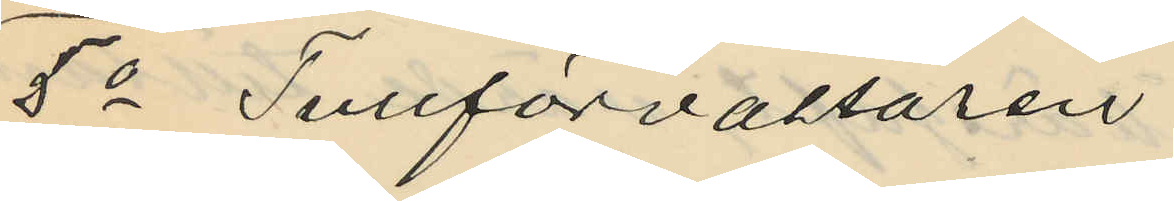5o Tullförvaltaren
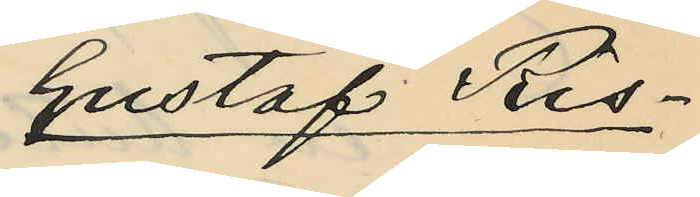Gustaf Ris¬
